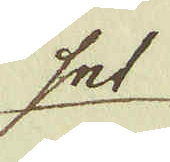set
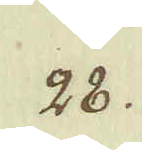28.
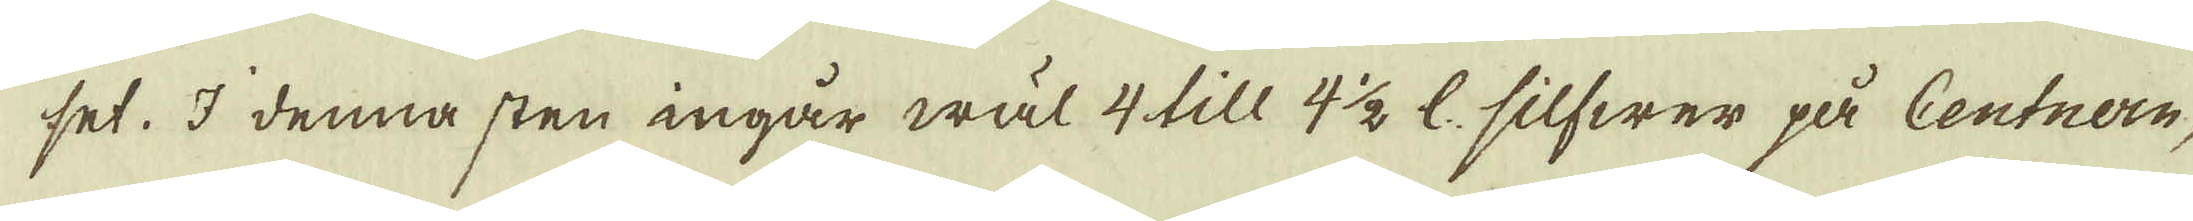set. I denna sten ingår wäl 4 till 4 1/2 l: silfwer på Centnern,
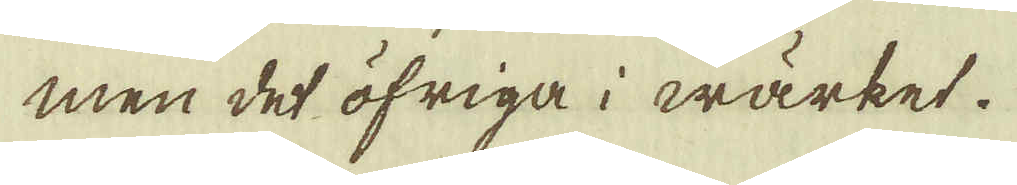men det öfriga i wärket.
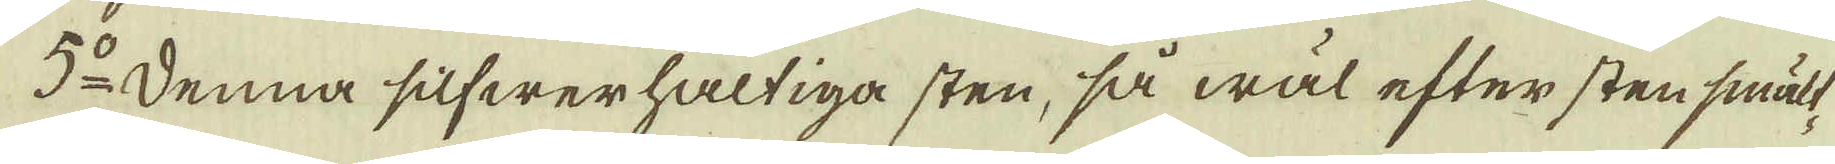5:o Denna silfwerhaltiga sten, så wäl efter sten smält-
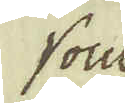som
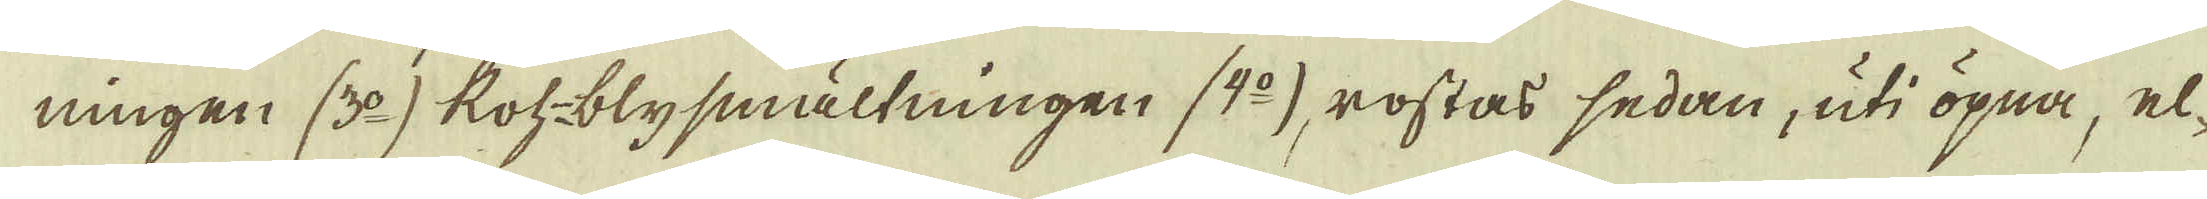ningen (3:o) Roh-blysmältningen (4:o) rostas sedan, uti öpna, el-
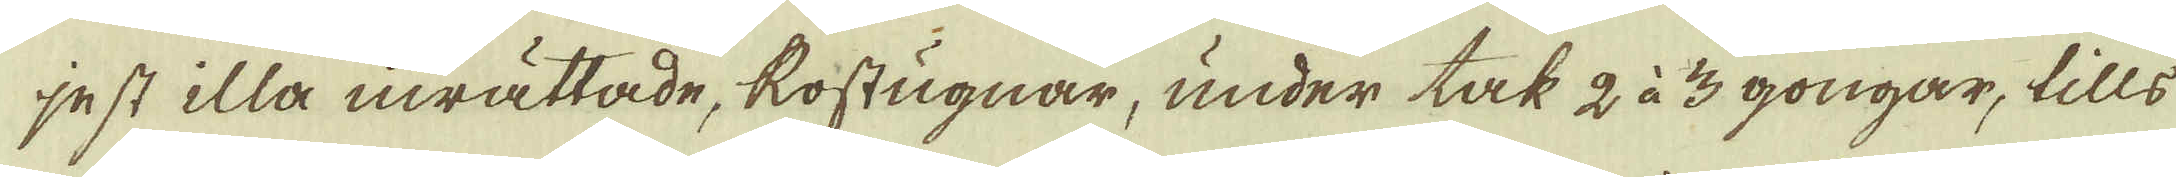jest illa inrättade, Rostugnar, under tak 2 à 3 gongar, tills
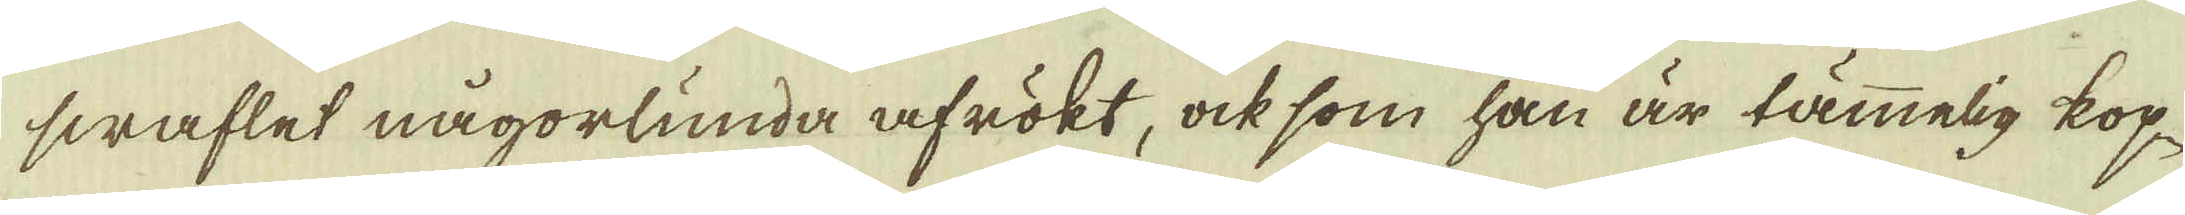swaflet någorlunda afrökt, ock som han är tämmelig kop-
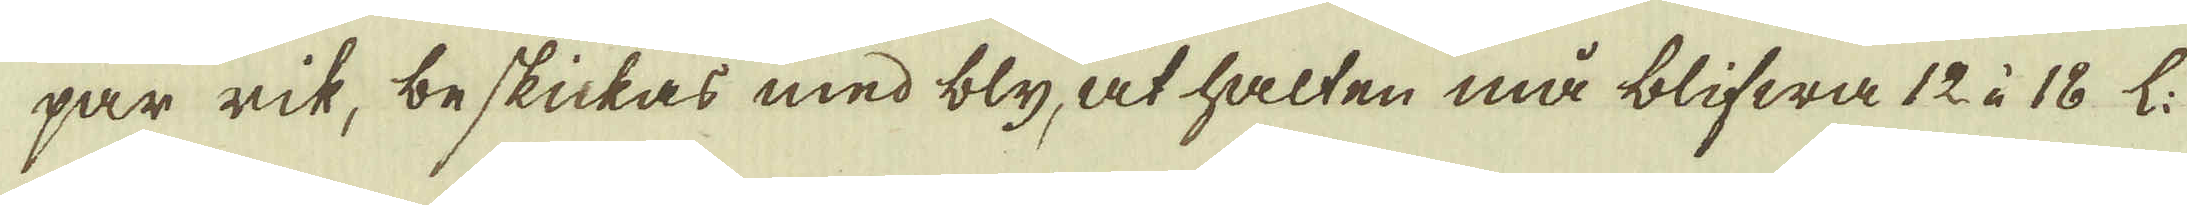par rik, beskickas med bly, at halten må blifwa 12 à 18 L.
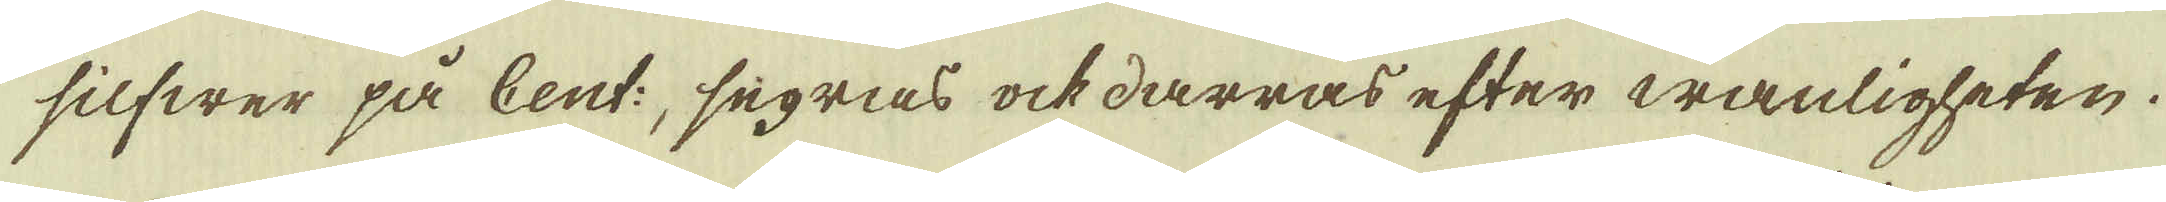silfwer på Cent:, segras ock därras efter wanligheten.
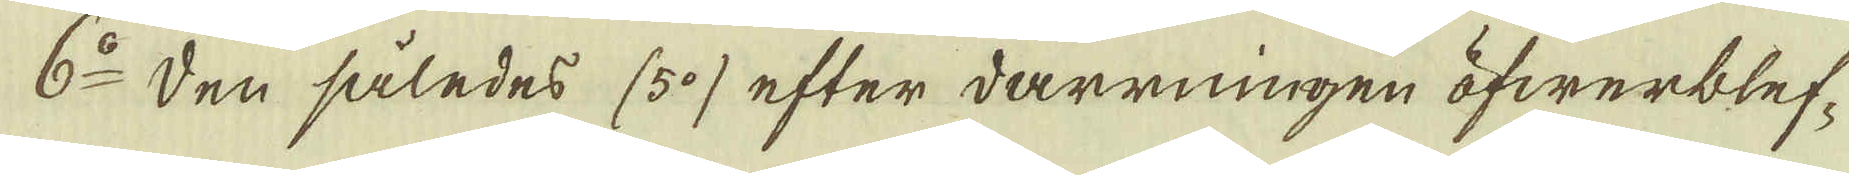6:o Den således (5:o) efter darrningen öfwerblef-
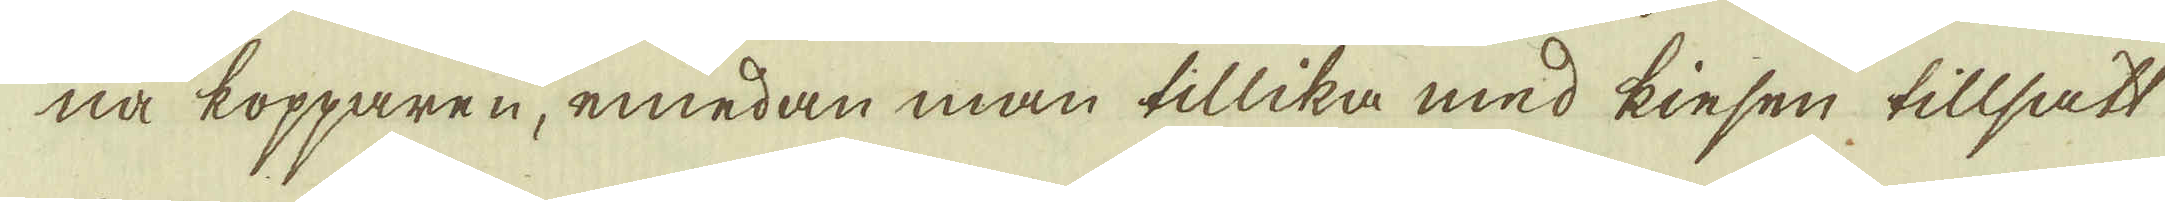na kopparen, emedan man tillika med kiesen tillsatt
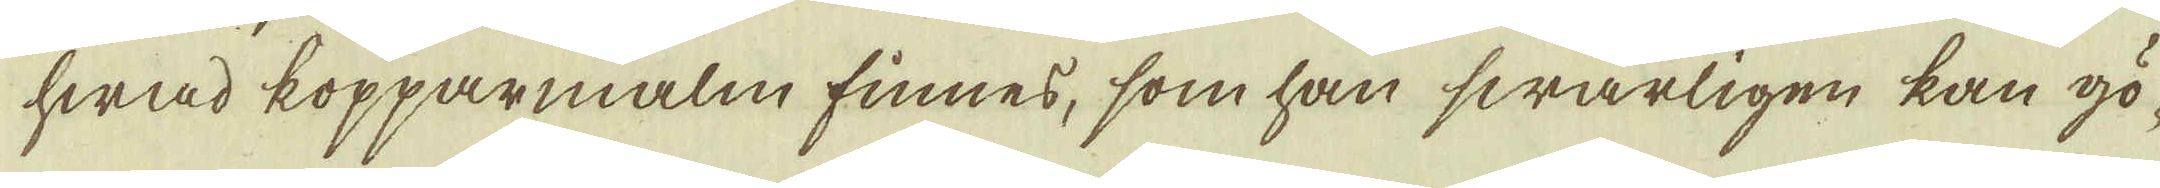hwad kopparmalm finnes, som han swårligen kan gö-
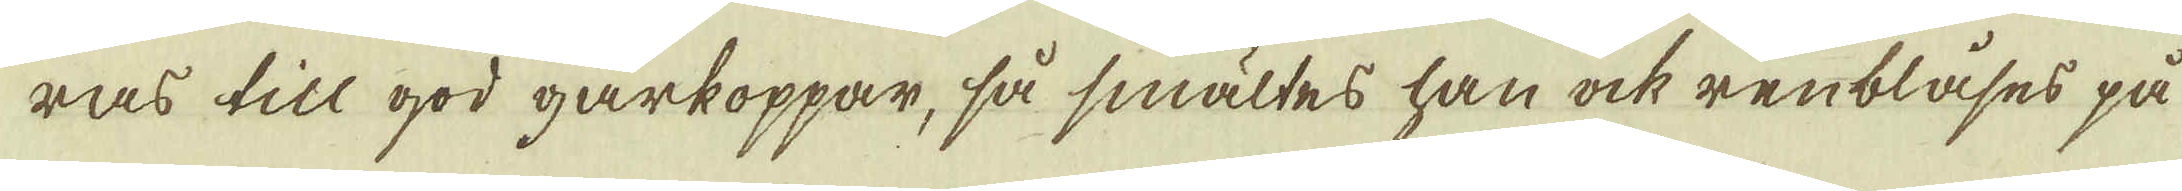ras till god gårkoppar, så smältes han ock renblåses på
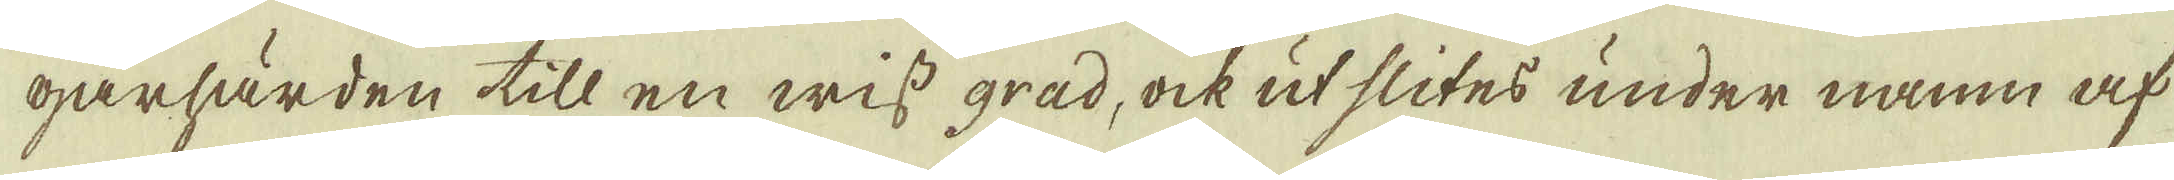gårhärden till en wiss grad, ock ut slites under namn af
